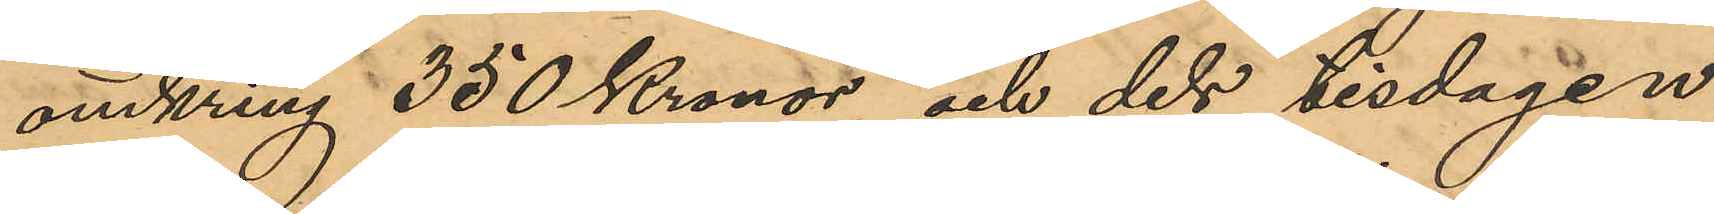omkring 350 Kronor och dels tisdagen
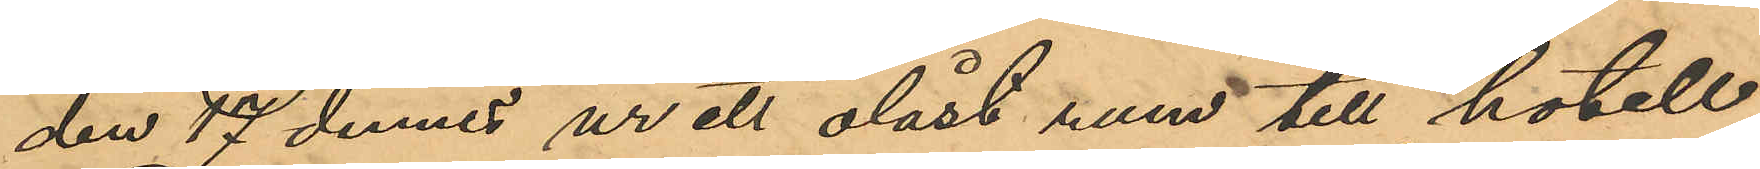den 17 dennes ur ett olåst rum till hotell
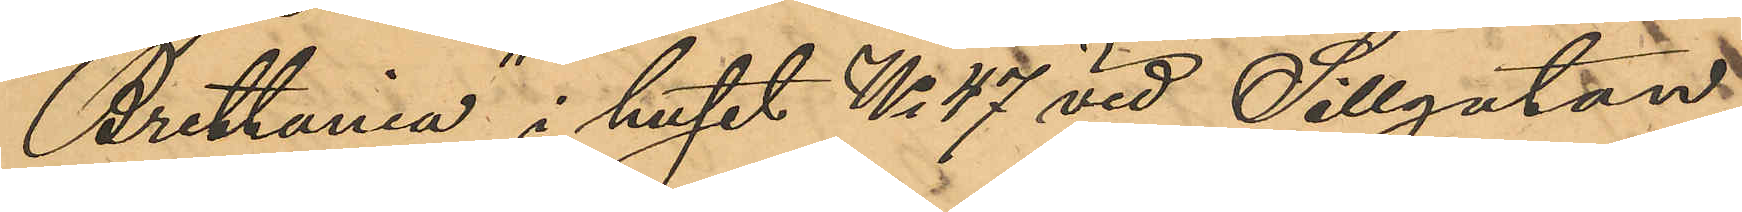"Brittania" i huset No 47 vid Sillgatan,
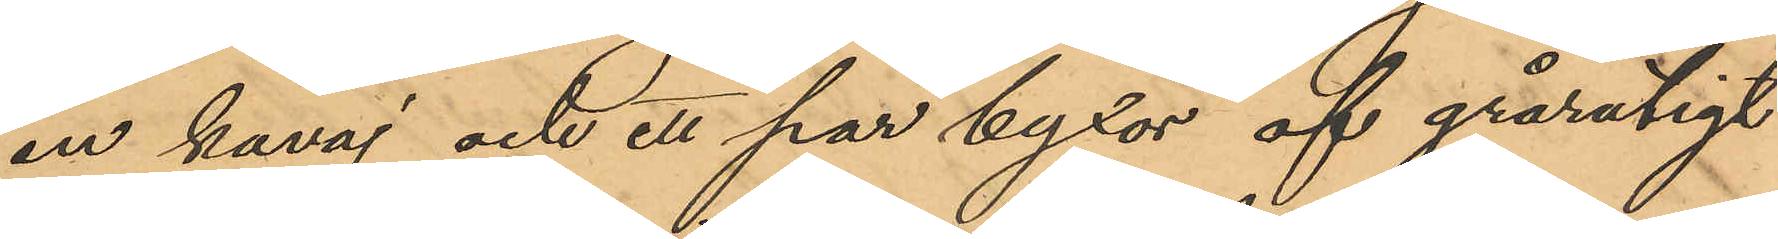en kavaj och ett par byxor af grårutigt
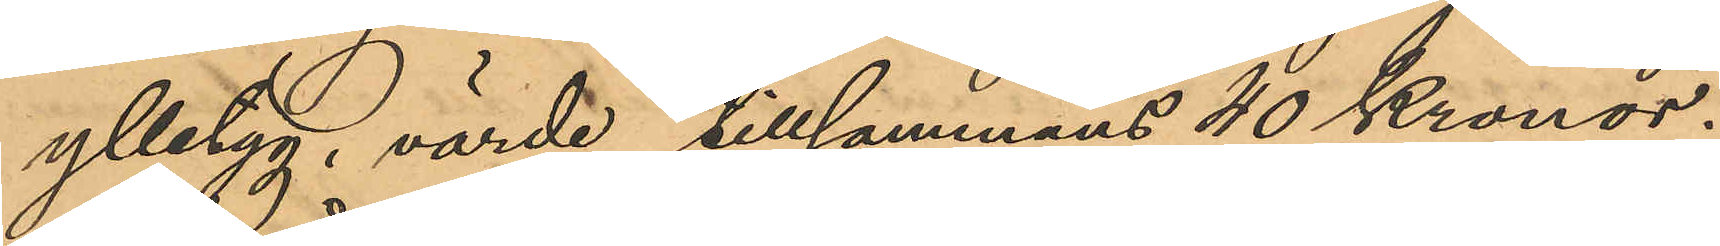ylletyg, värde tillsammans 40 Kronor.
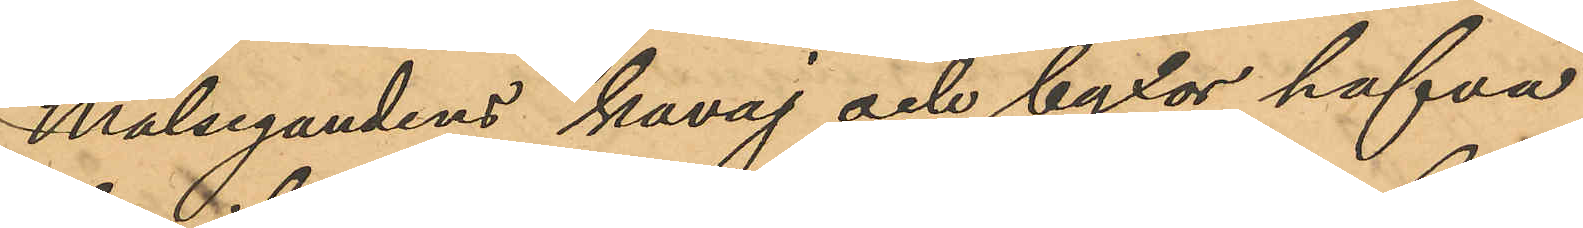Målsegandens kavaj och byxor hafva
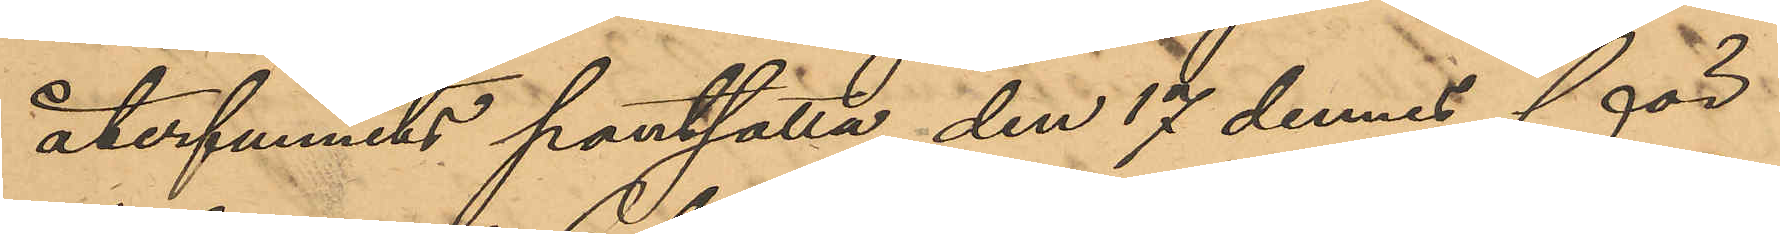återfunnits pantsatta den 17 dennes för
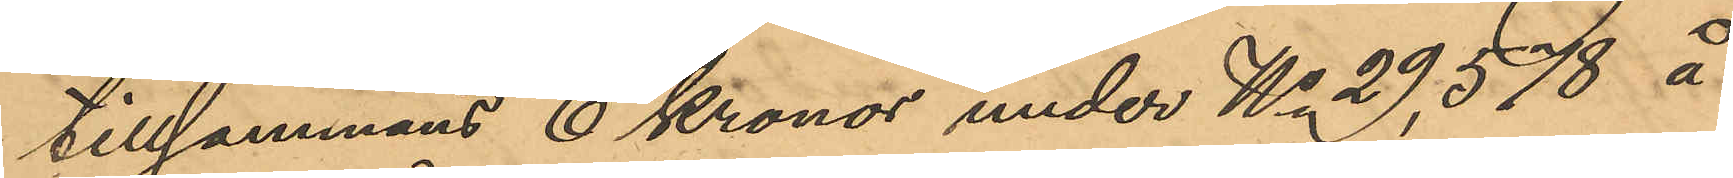tillsammans 6 Kronor under No 29,578 å
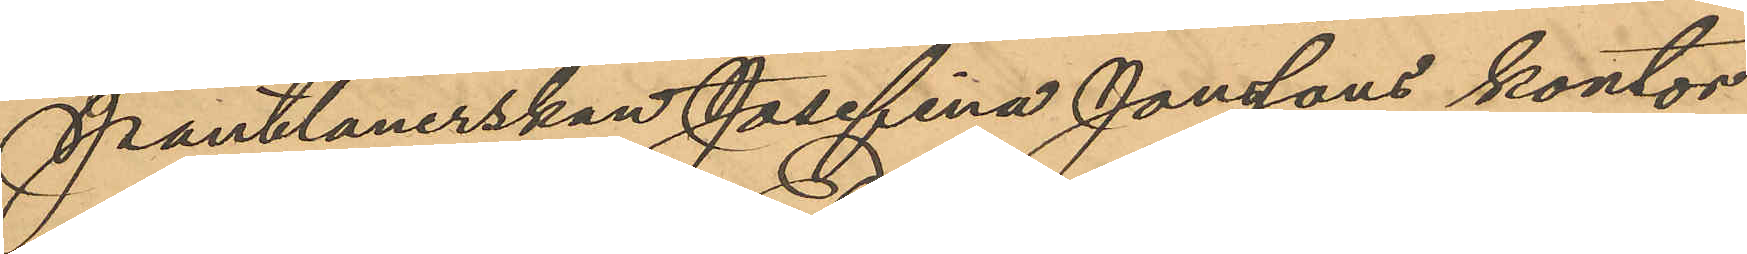Pantlånerskan Josefina Jonssons kontor
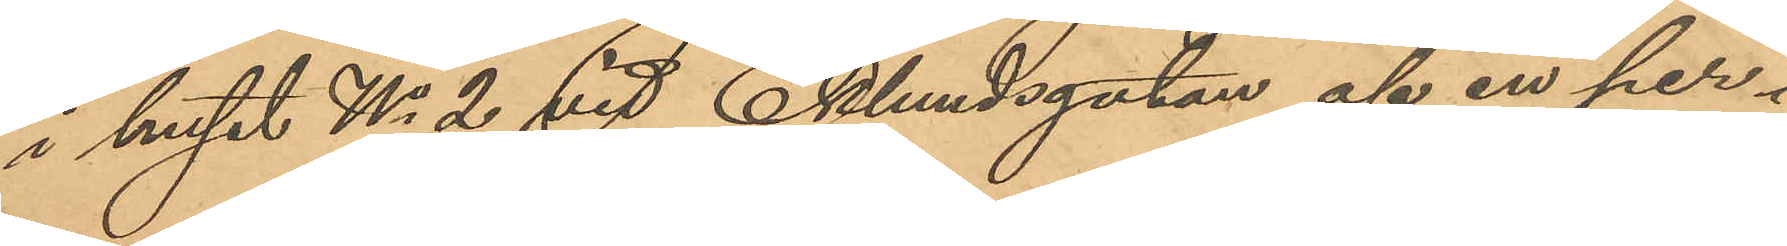i huset No 2 vid Eklundsgatan af en per¬
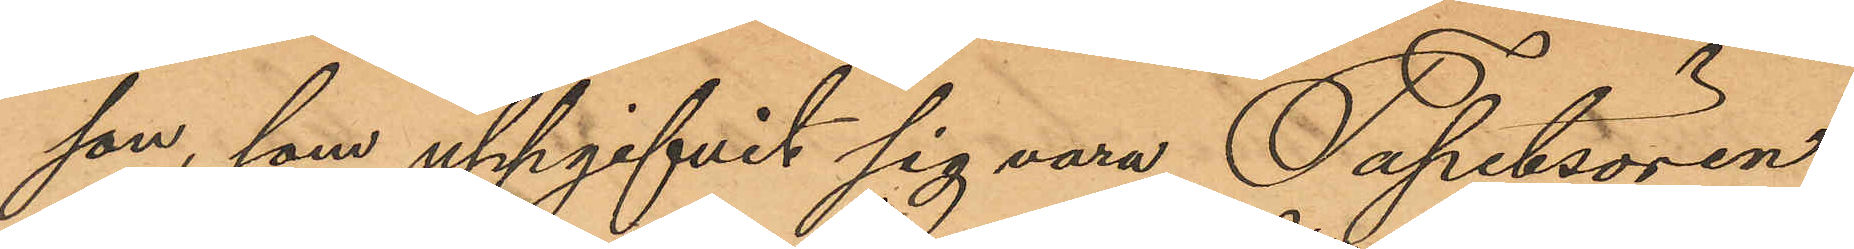son, som uppgifvit sig vara Tapetsören
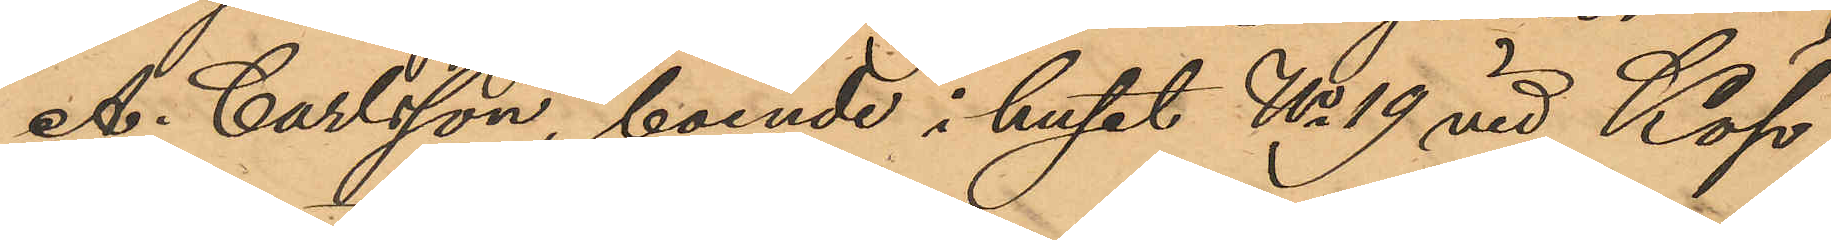A. Carlsson, boende i huset No 19 vid Köp¬
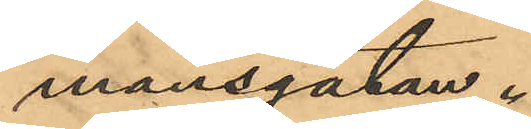mansgatan.
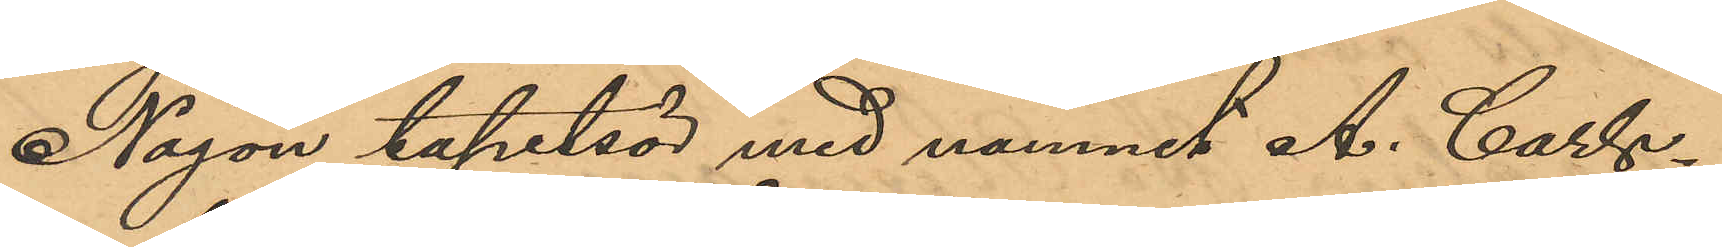Någon tapetsör med namnet A. Carls¬
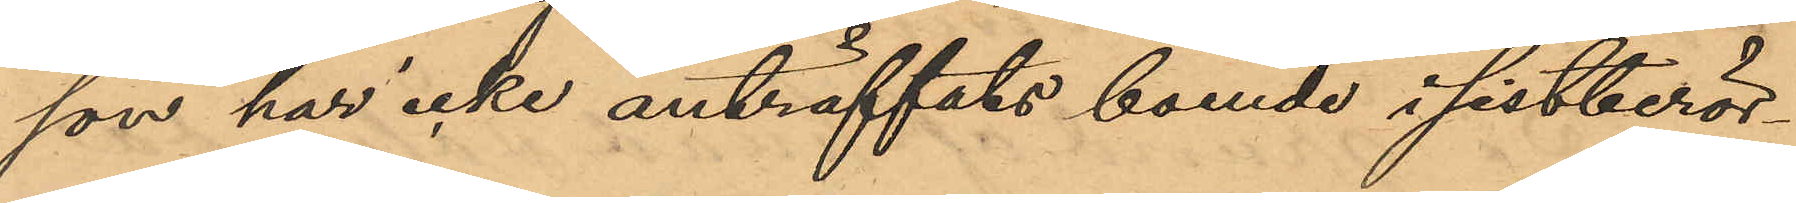son har icke anträffats boende i sistberör¬
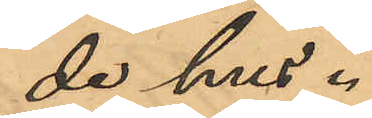de hus.
